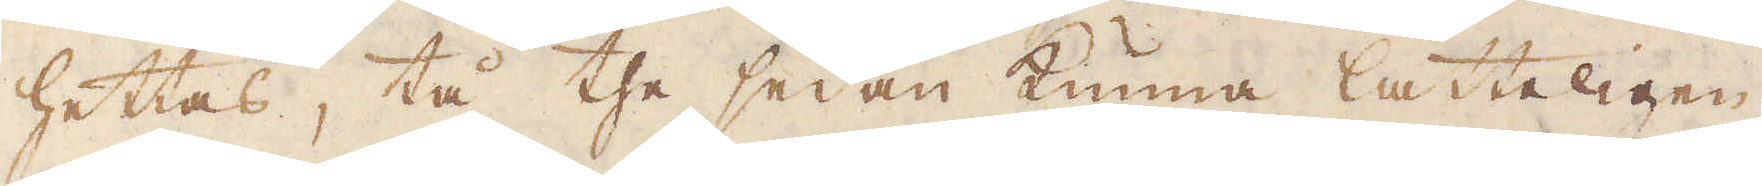hettas, tå the sedan kunna lätteligen
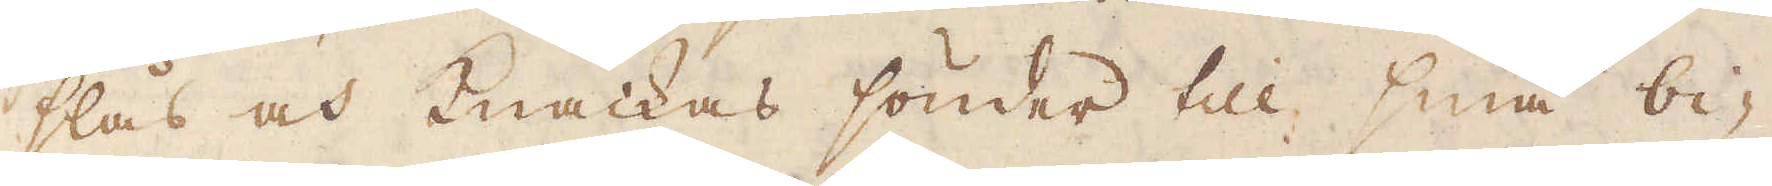slås och knackas sönder till små bi-
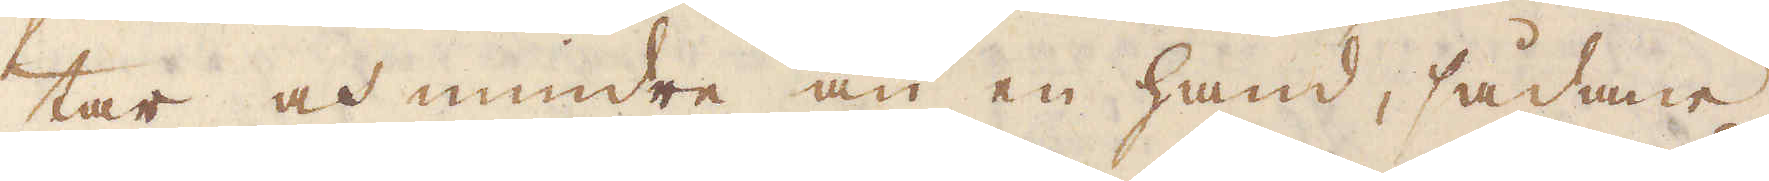tar och mindre än en hand, sådane
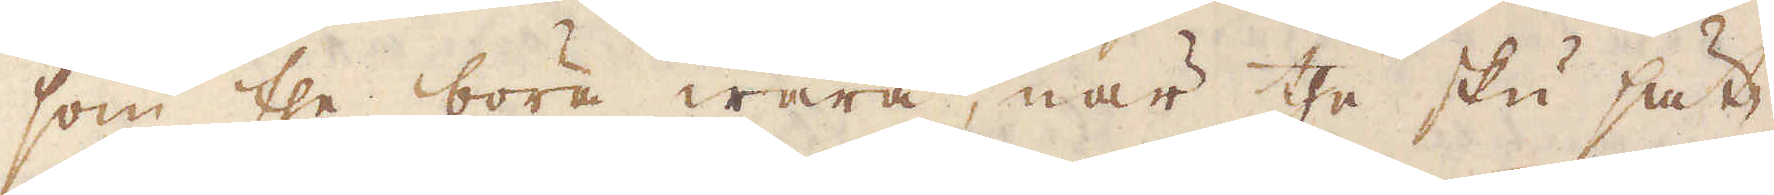som the böra wara, när the ska sät-
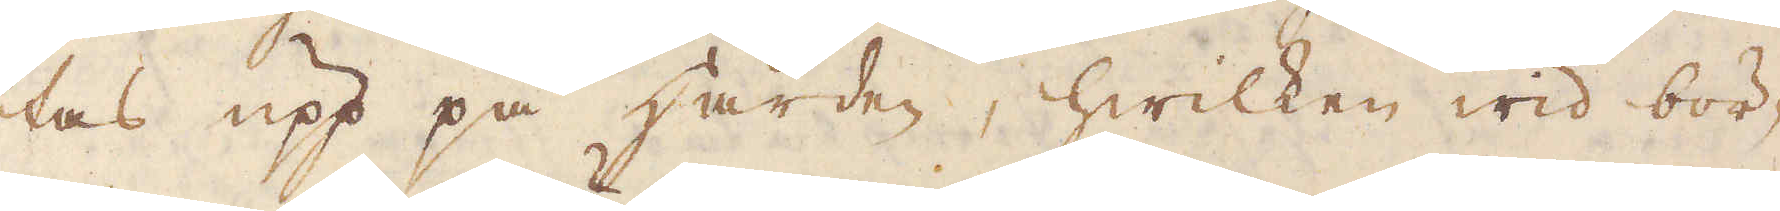tas upp på härden, hwilken wid bör-
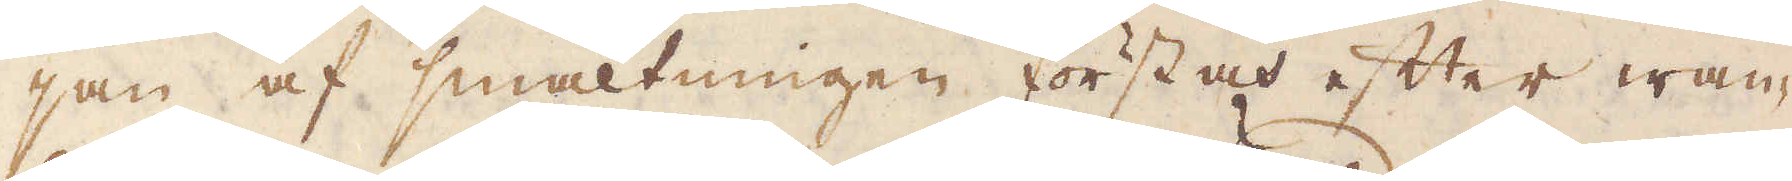jan af smältningen först och efter wan-
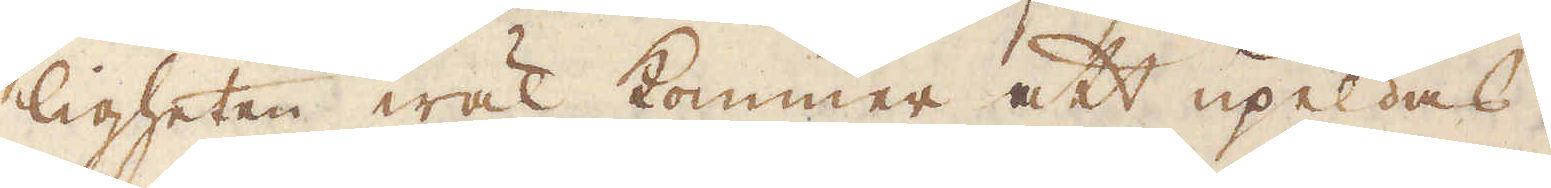ligheten wäl kommer att upeldas.
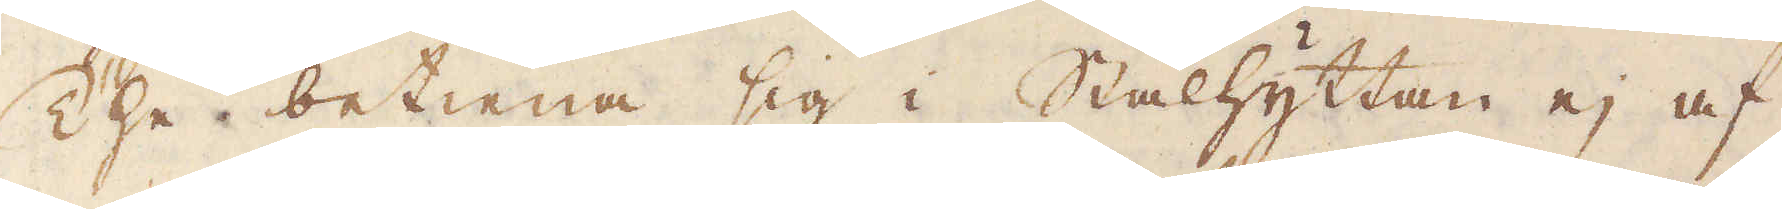The betiena sig i Stålhyttan ej af
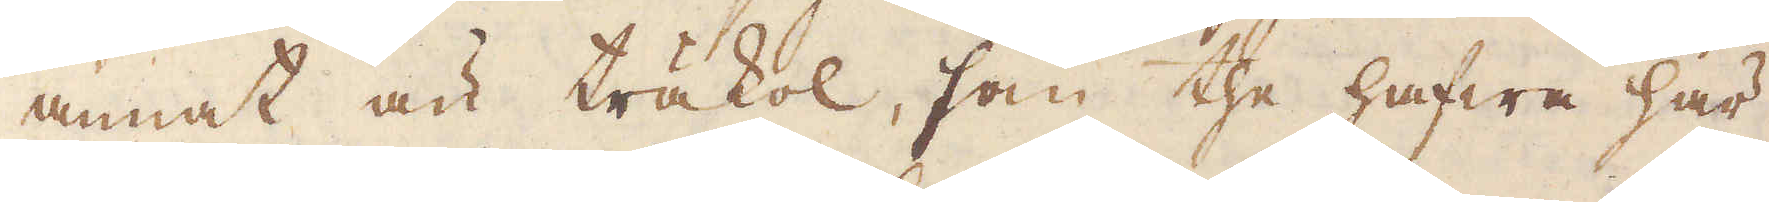annat än träkol, som the hafwa här
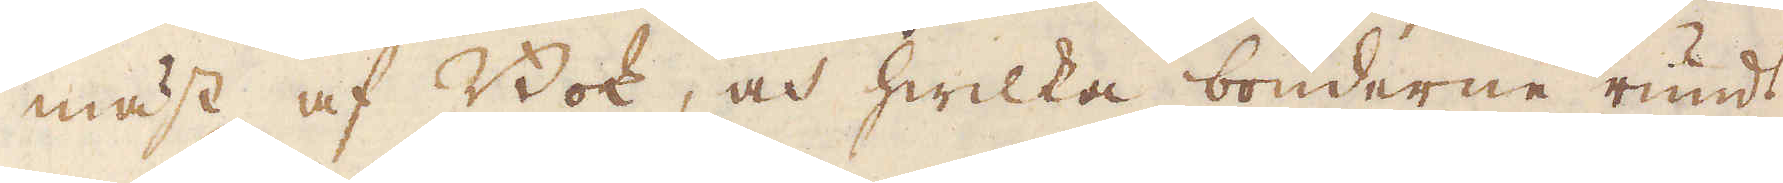mäst af Bok, och hwilka bönderne rundt
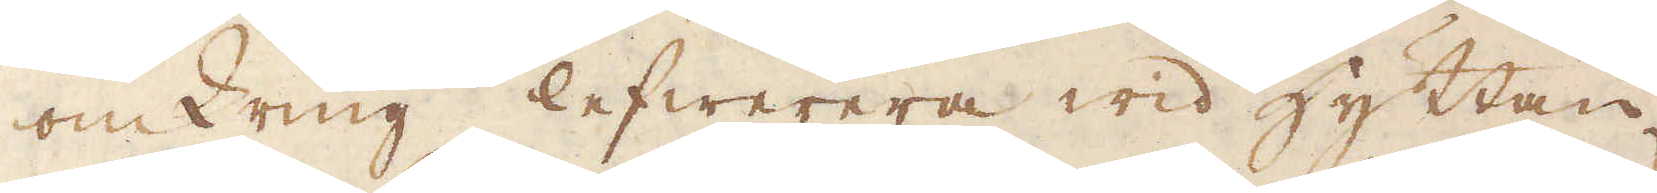omkring lefwerera wid hyttan
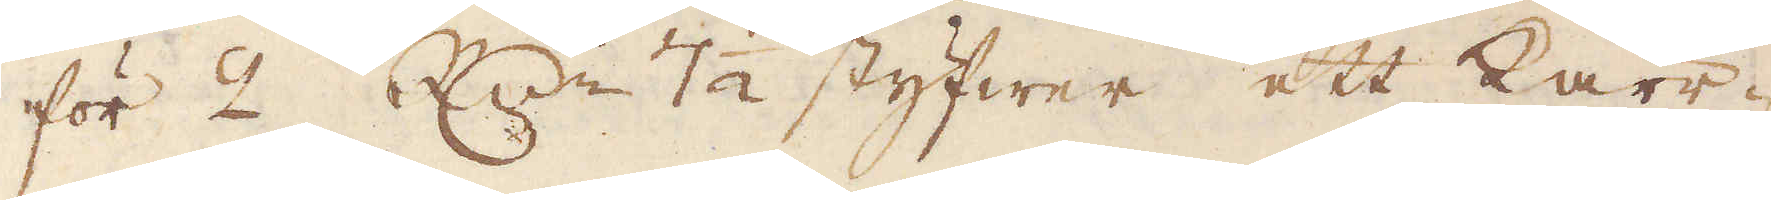för 2 R:dr 7 1/2 styfwer ett kärr-
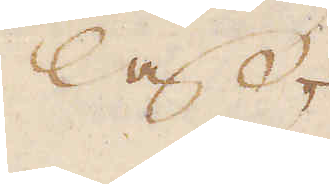lass,
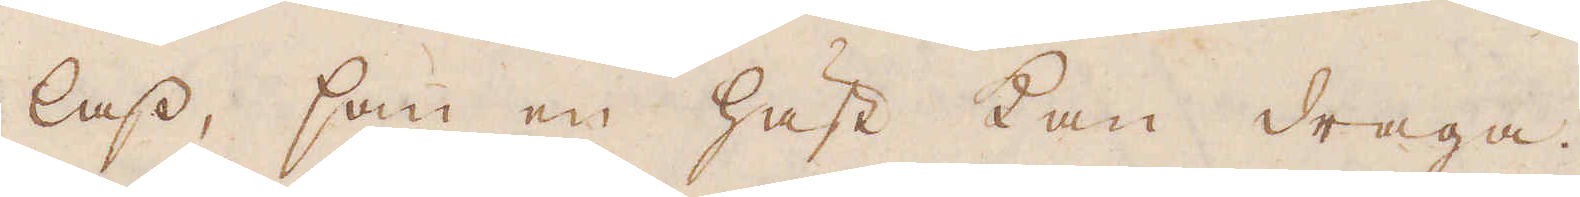lass, som en häst kan draga.
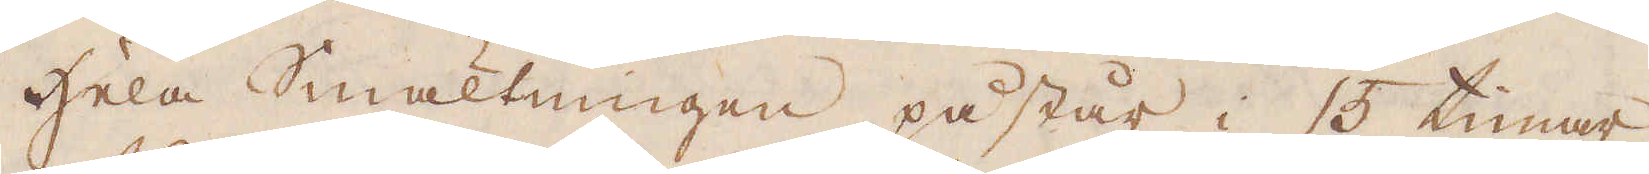Hela Smältningen påstår i 15 timar
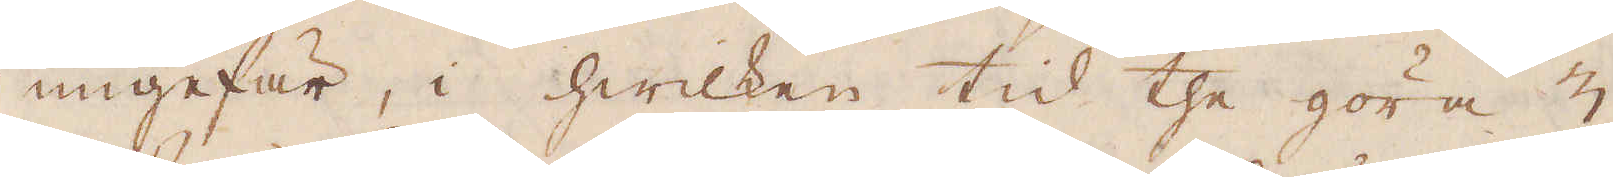ungefär, i hwilken tid the göra 3
